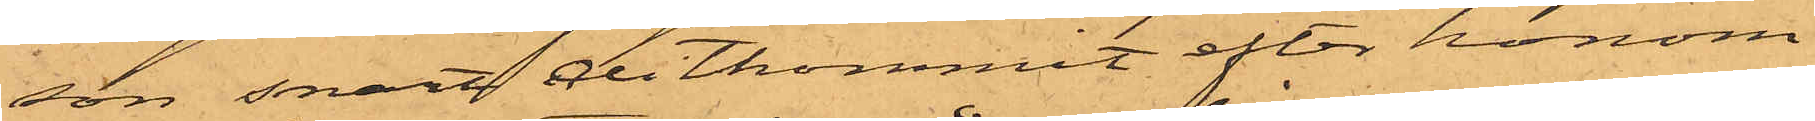son snart ditkommit efter honom
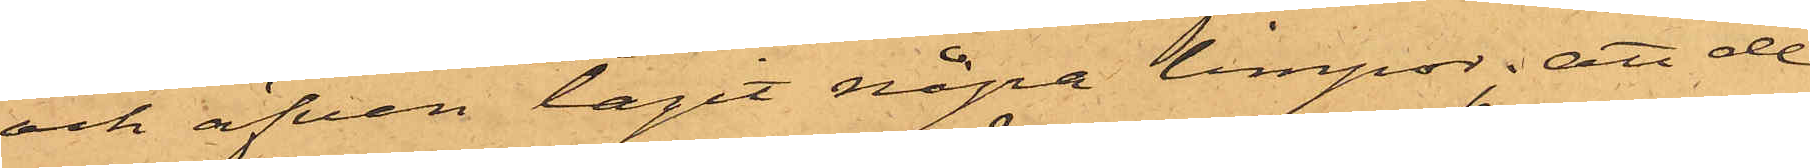och äfven tagit några limpor; att de
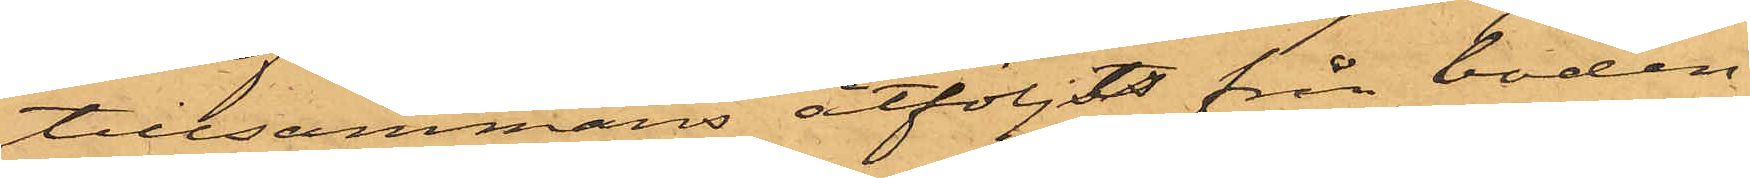tillsammans åtföljts från boden,
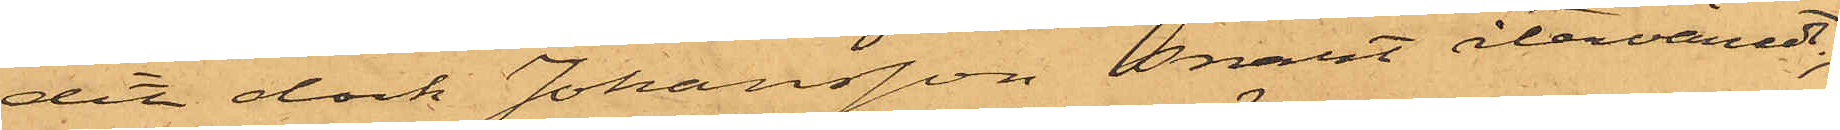dit dock Johansson snart återvändt;
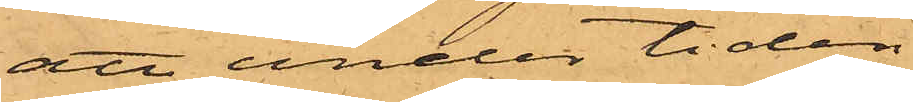att under tiden
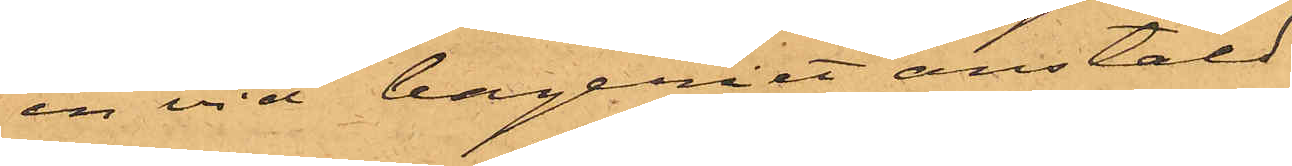en vid bageriet anstäld
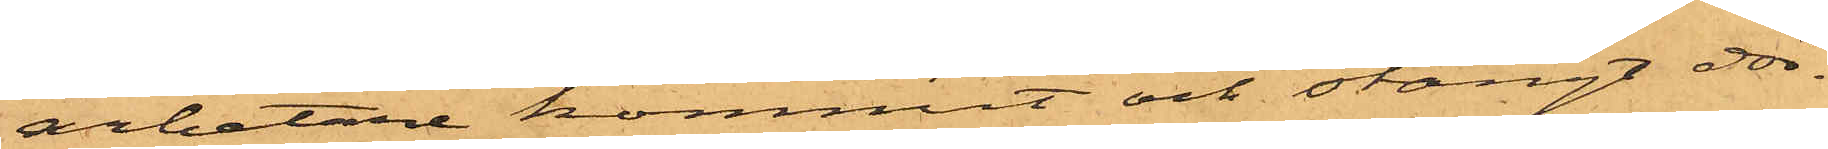arbetare kommit och stängt dör¬
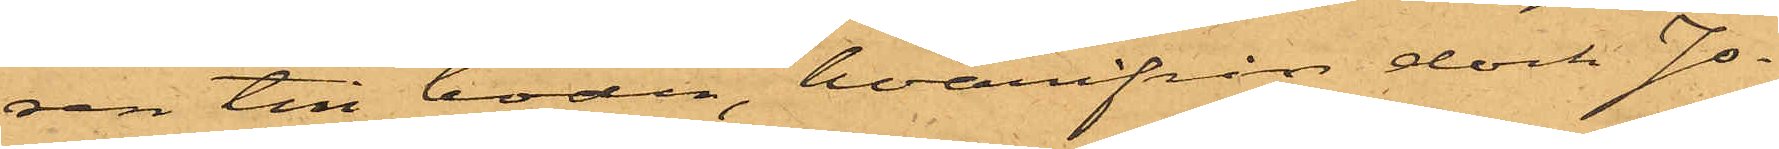ren till boden, hvarifrån dock Jo¬
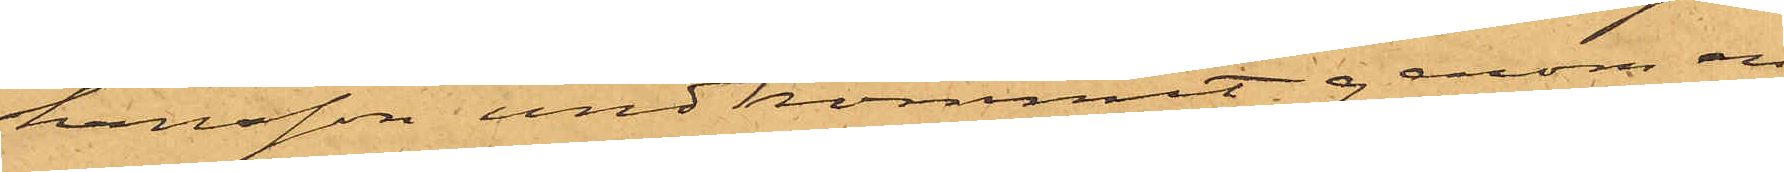hansson undkommit genom en
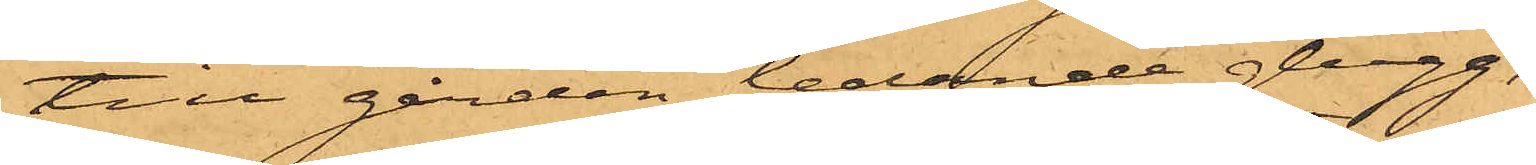till gården ledande glugg;
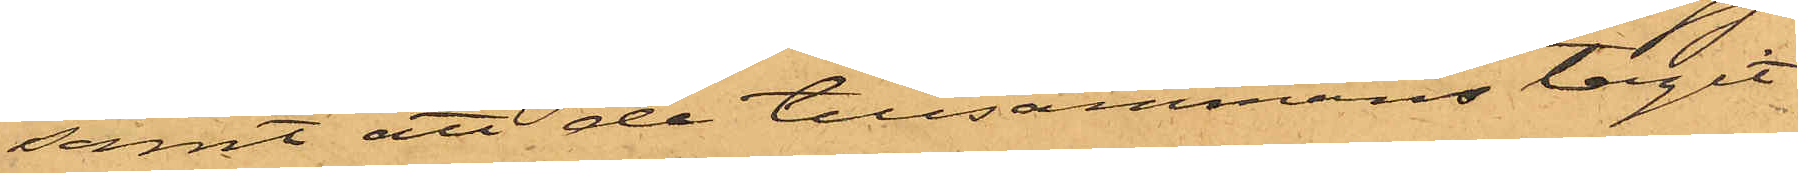samt att de tillsammans tagit
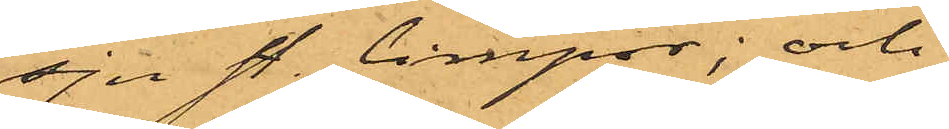sju st. limpor; och
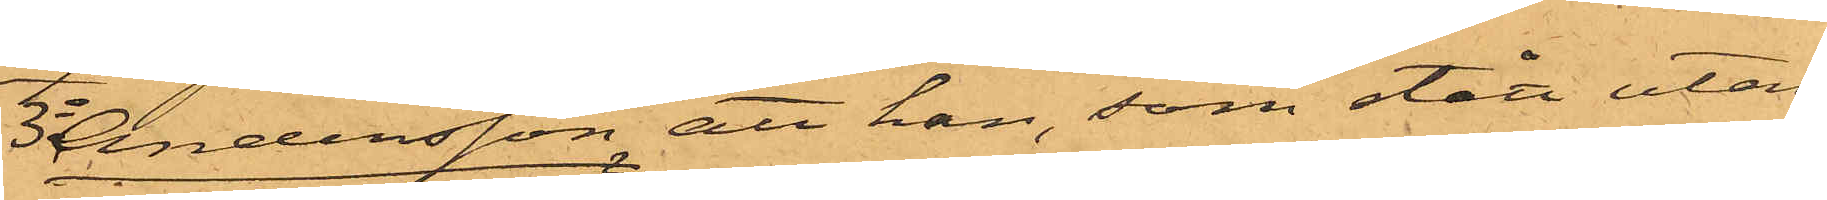3o Andersson, att han, som stått utan¬
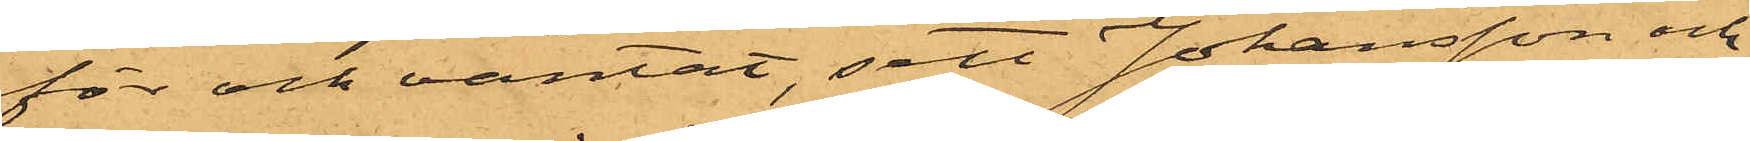för och väntat, sett Johansson och
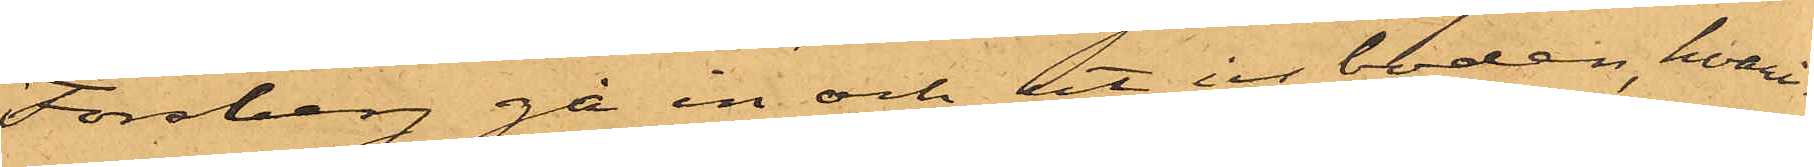Föroberg gå in och ut ur boden, hvari¬
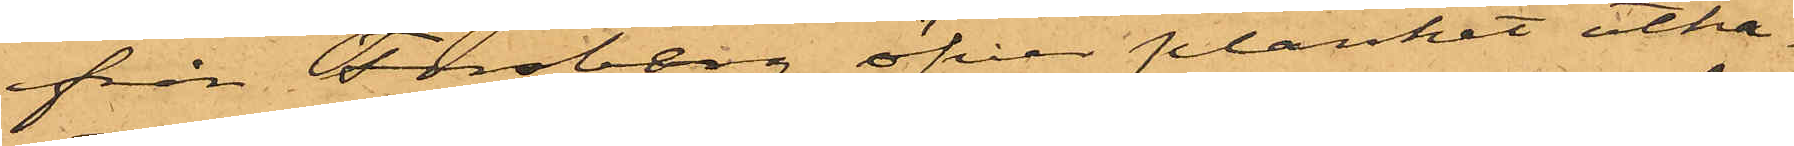från Forsberg öfver planket utka¬
